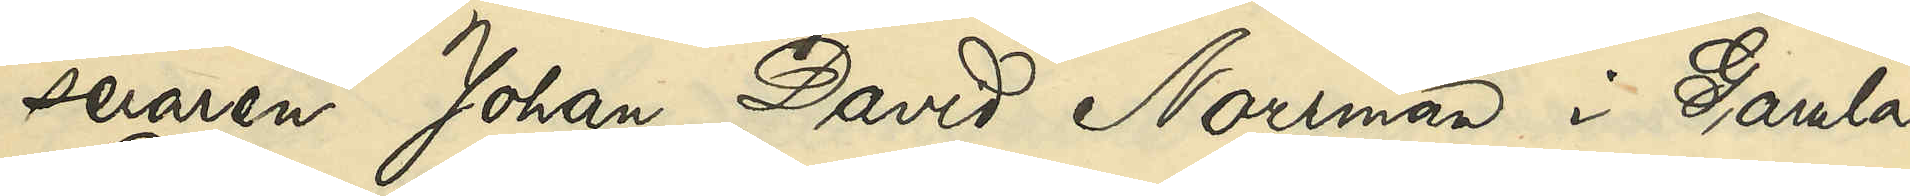seraren Johan David Norrman i Gamla
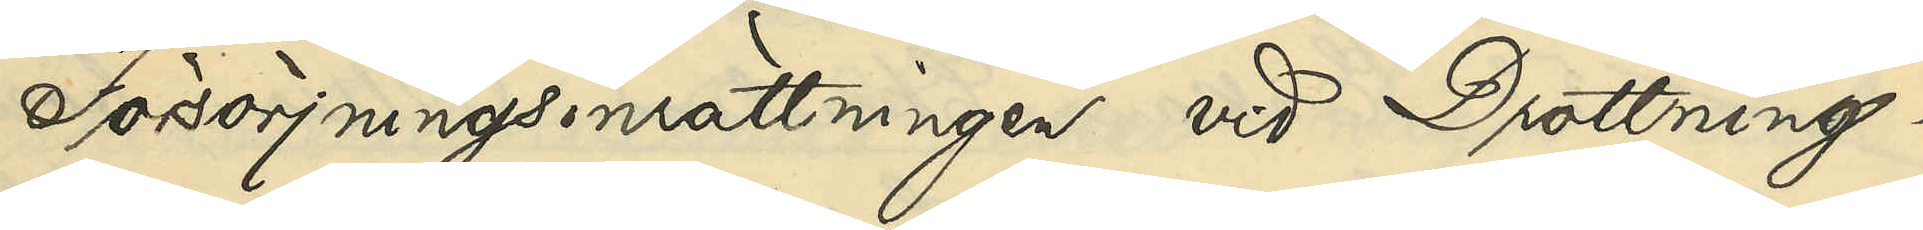Försörjningsinrättningen vid Drottning¬
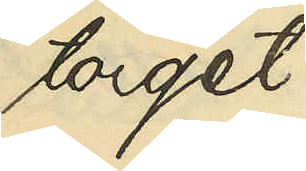torget.
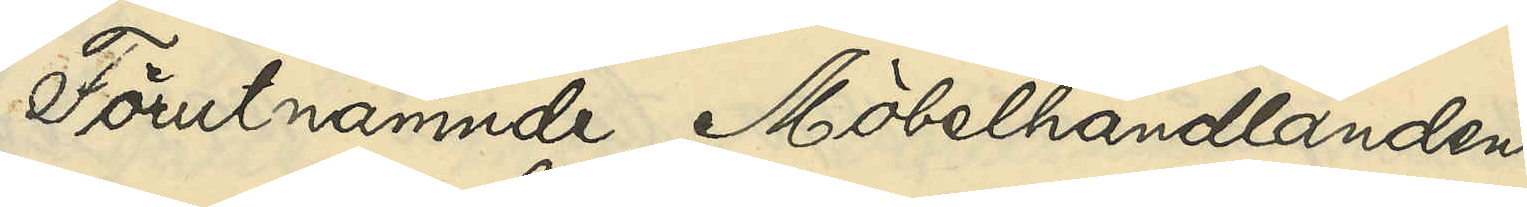Förutnämnde Möbelhandlanden
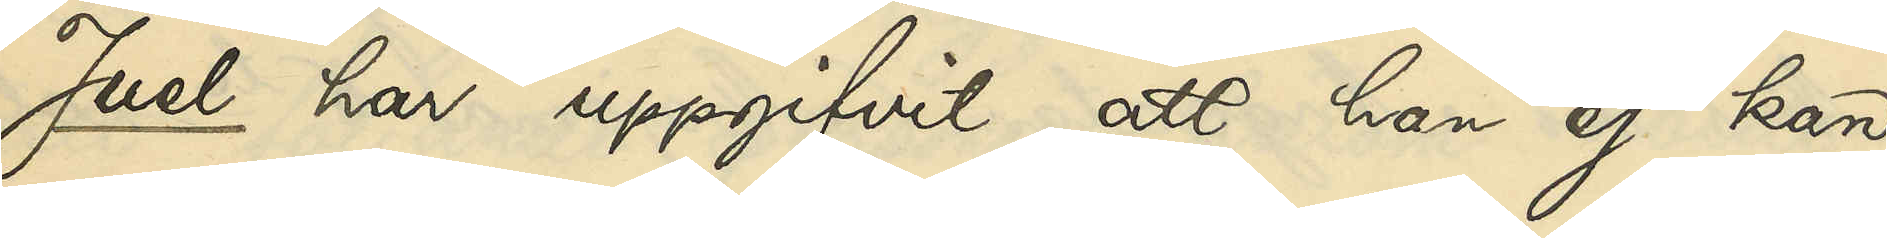Juel har uppgifvit, att han ej kan
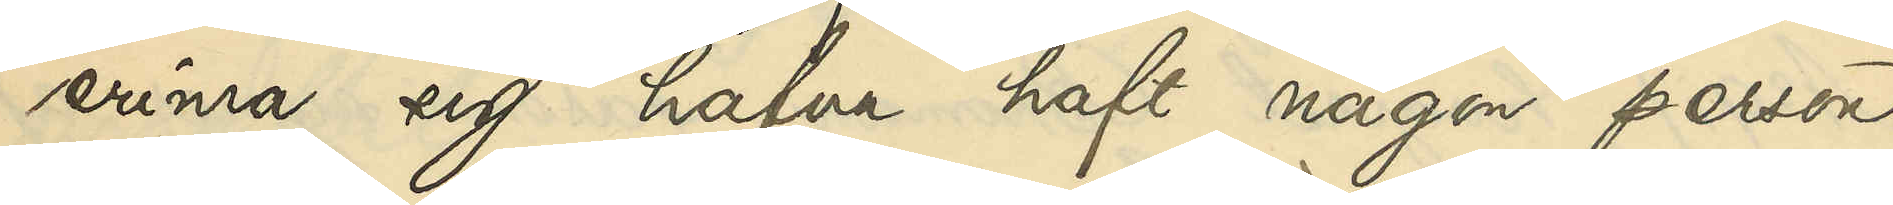erinra sig hafva haft någon person
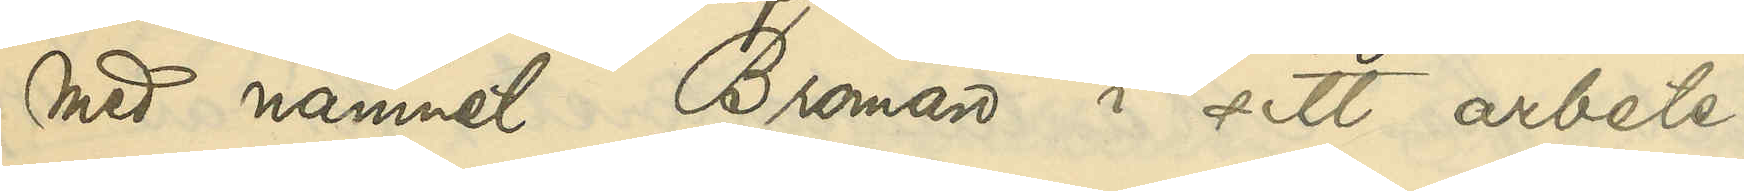med namnet Broman i sitt arbete.
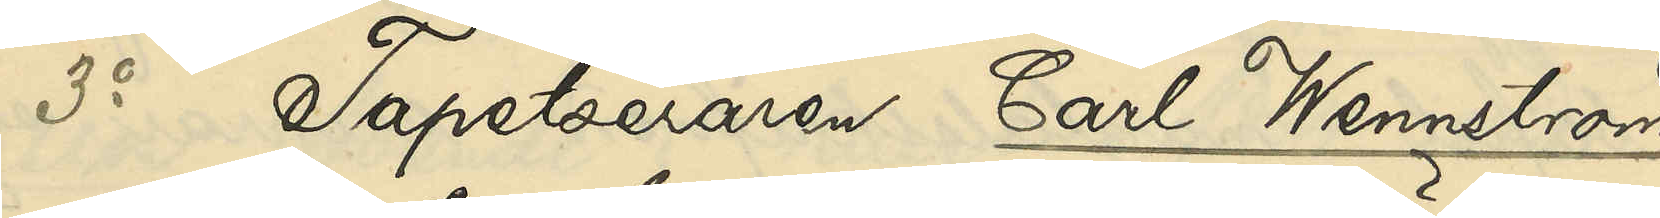3o Tapetseraren Carl Wennström
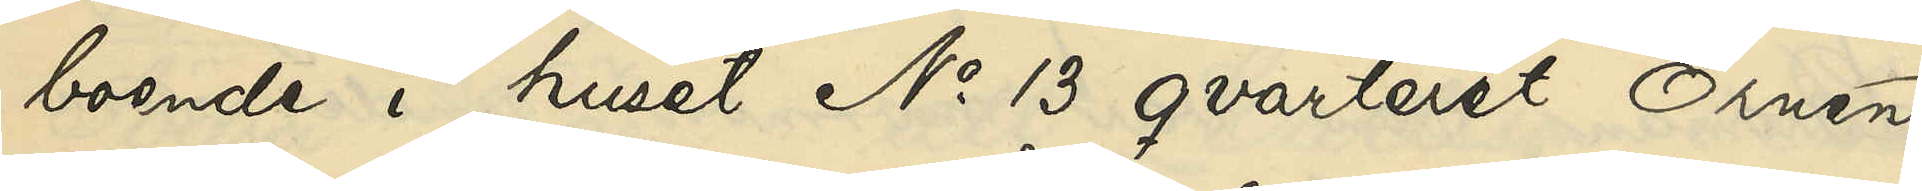boende i huset No 13 qvarteret Örnen
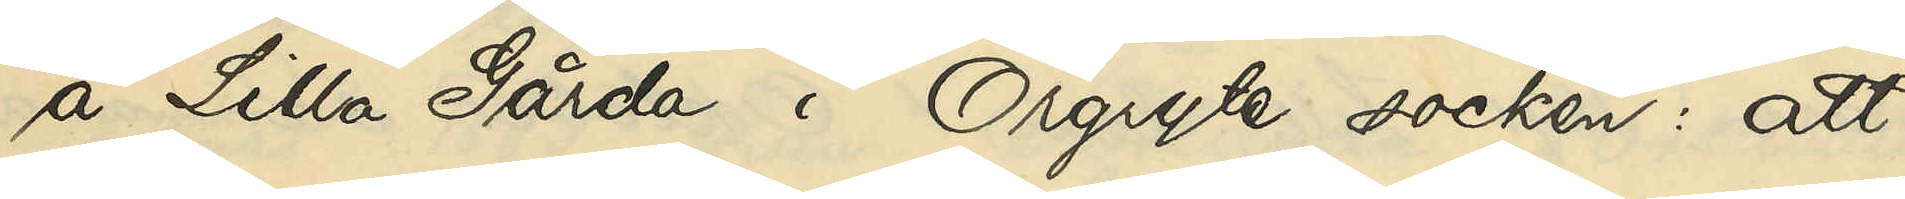å Lilla Gårda i Örgryte socken: att
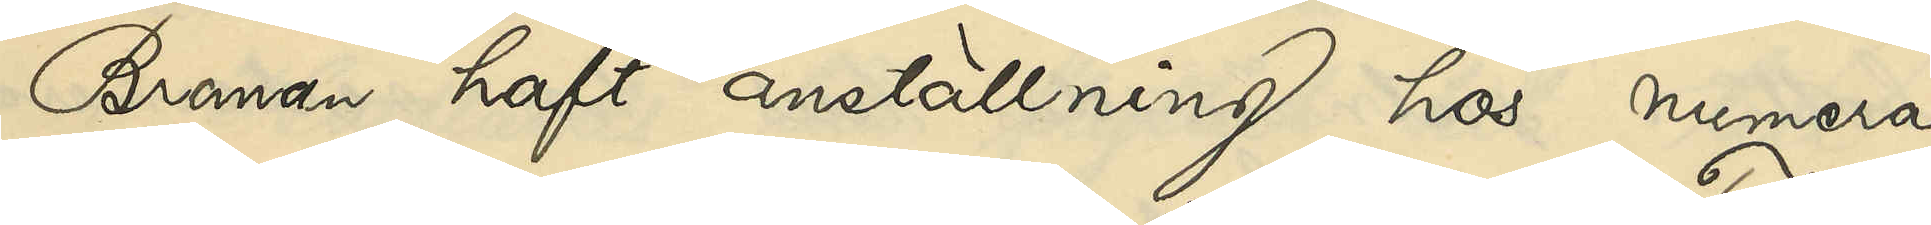Broman haft anställning hos numera 
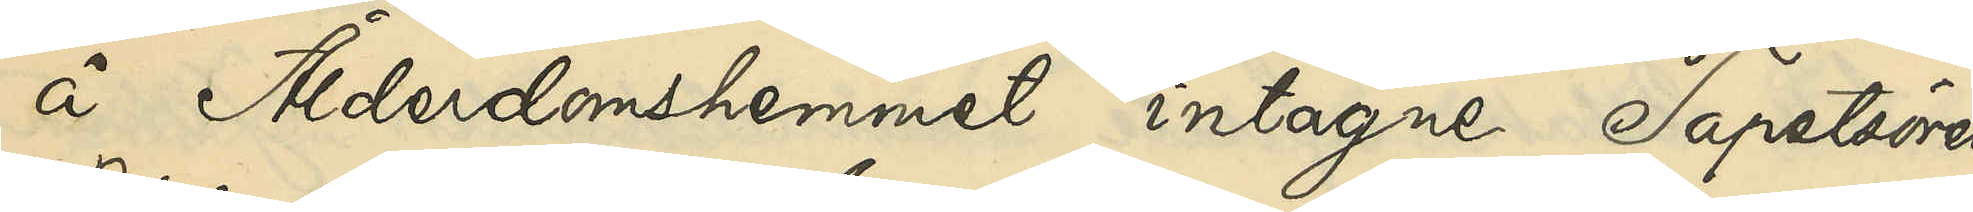å Ålderdomshemmet intagne Tapetsören
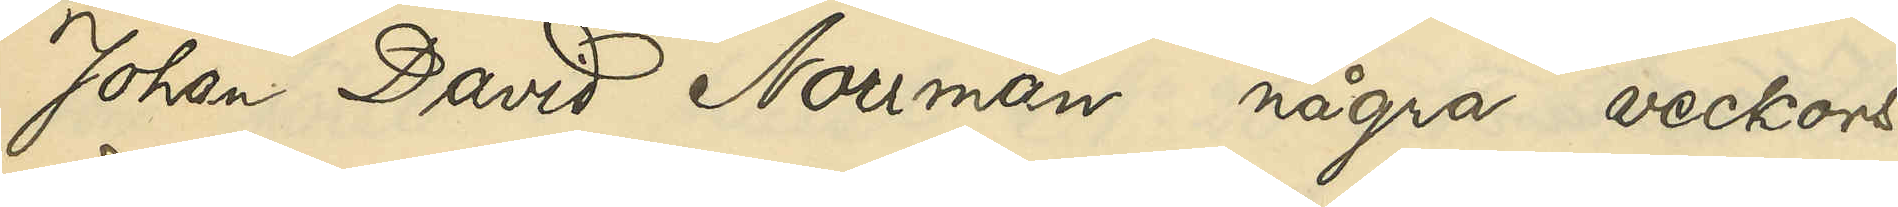Johan David Norrman några veckors
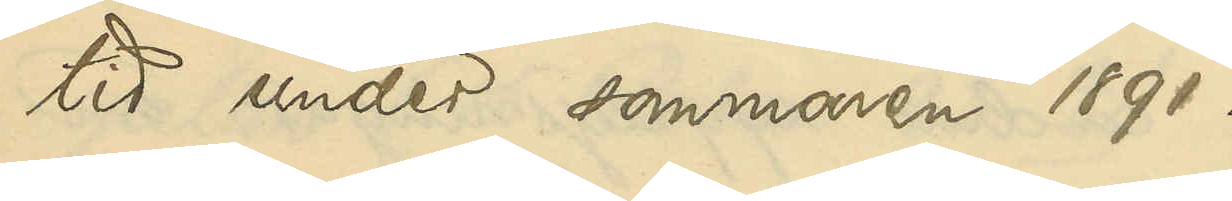tid under sommaren 1891.
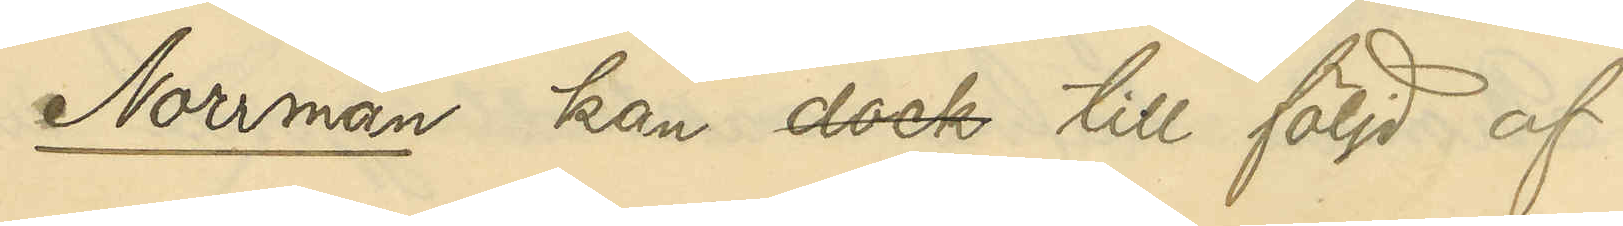Norrman kan dock till följd af
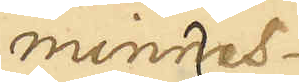minnes¬
